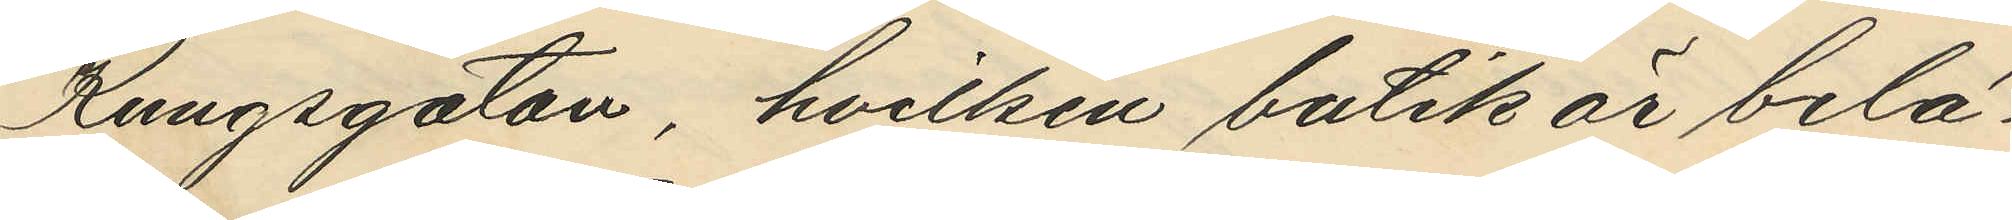Kungsgatan, hvilken butik är belä¬
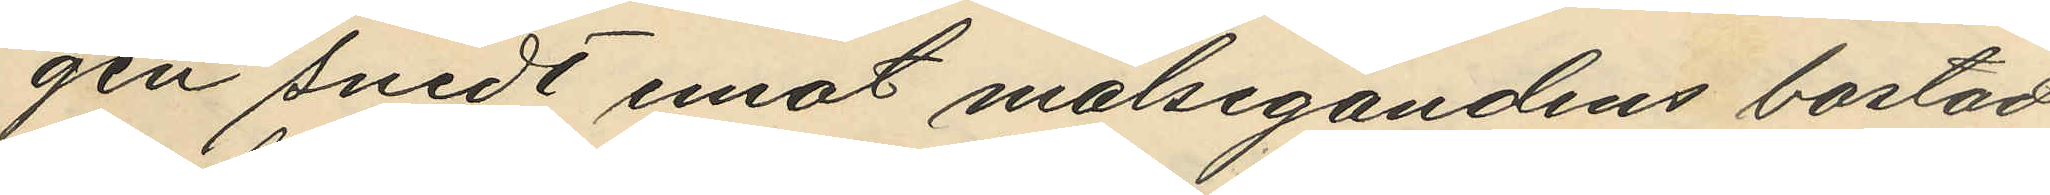gen snedt emot målsegandens bostad
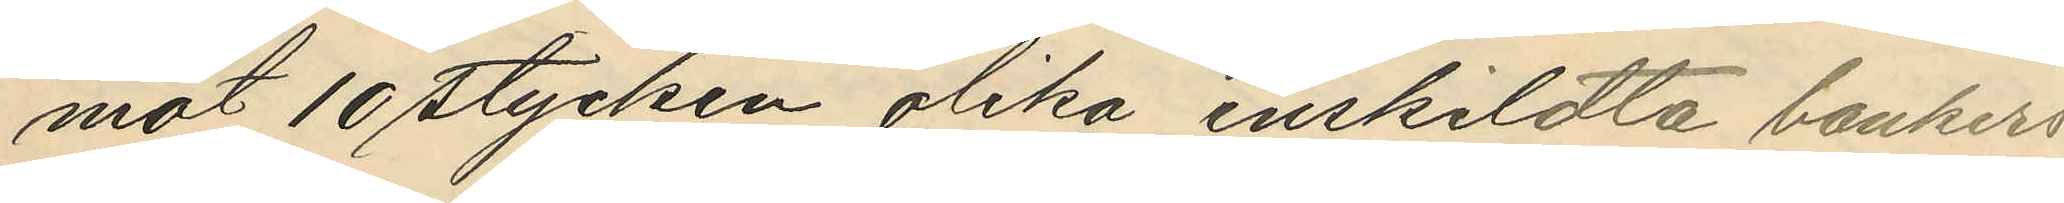mot 10 stycken olika enskildta bankers
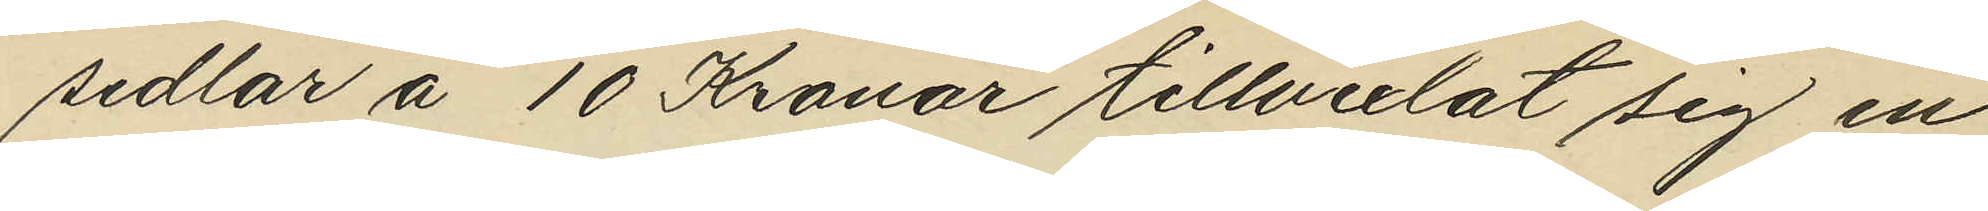sedlar å 10 Kronor tillvexlat sig en
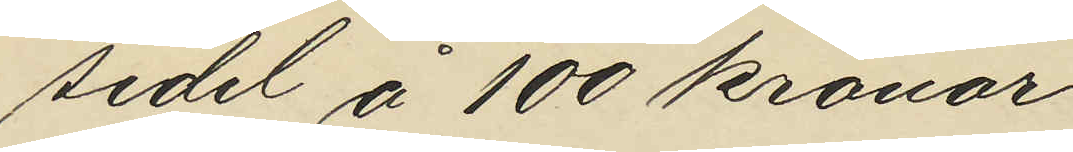sedel å 100 kronor.
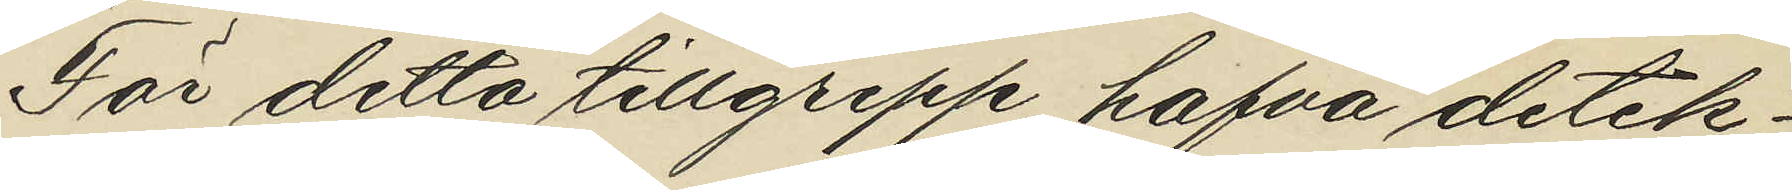För detta tillgrepp hafva detek¬
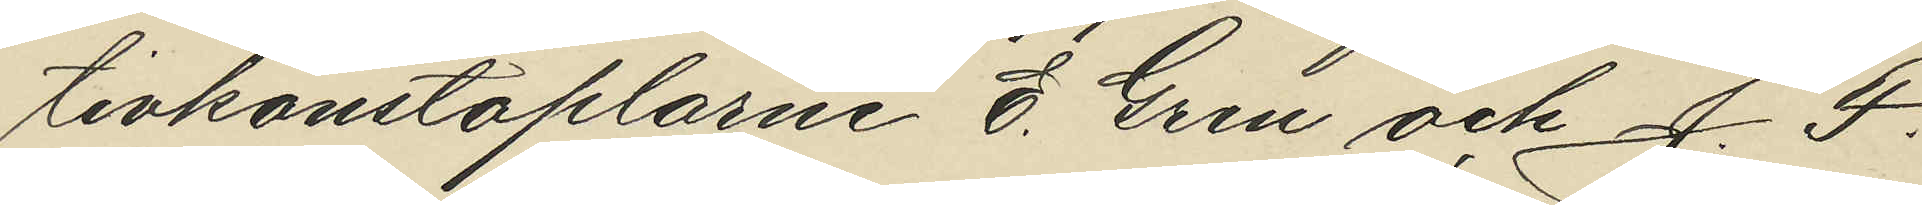tivkonstaplarne E. Gren och J. F.
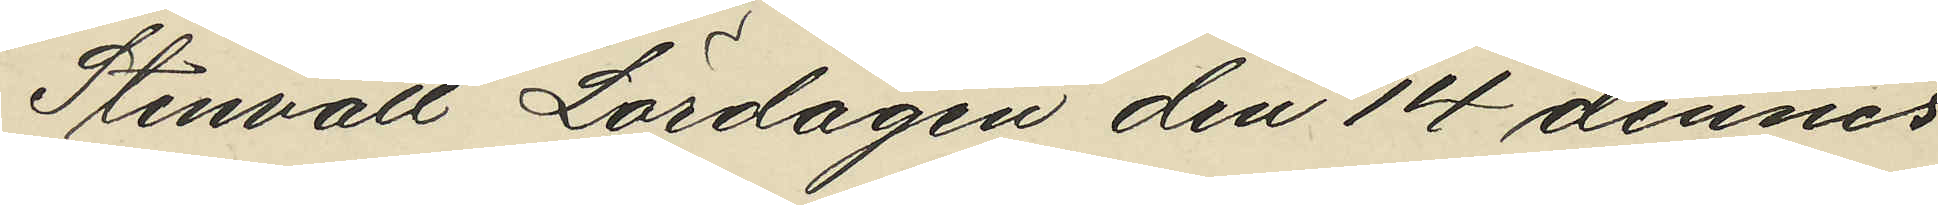Stenvall Lördagen den 14 dennes
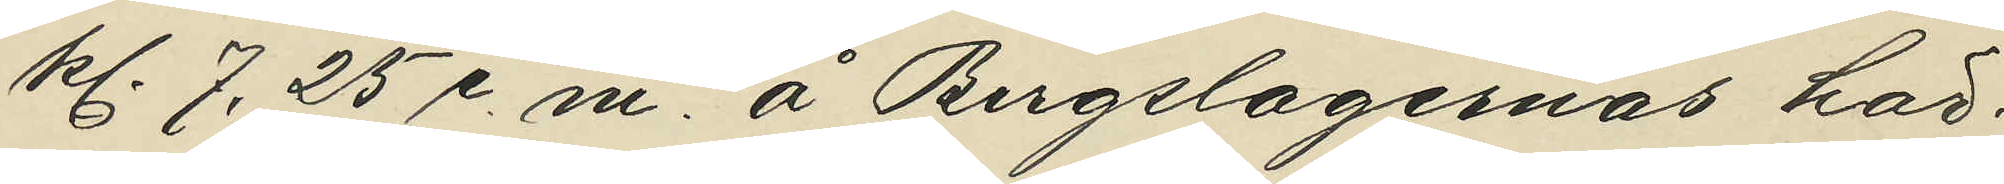kl. 7,25 e. m. å Bergslagernas här¬
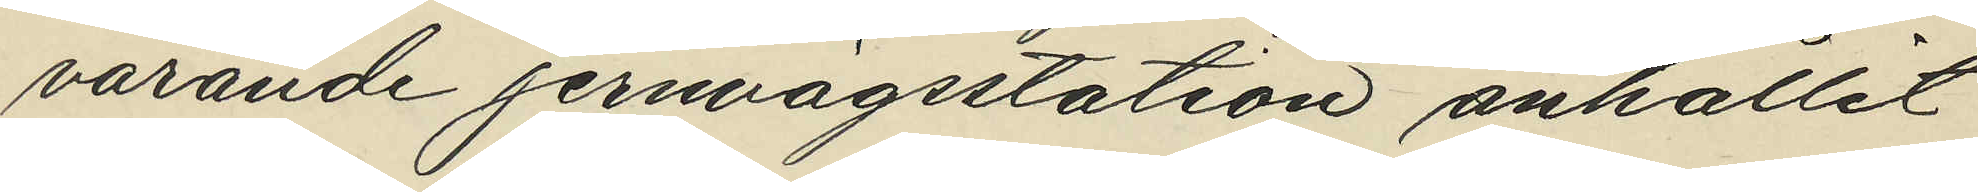varande jernvägsstation anhållit
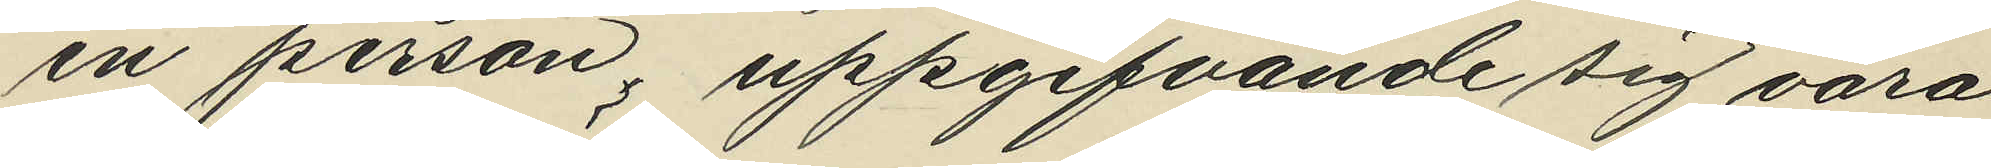en person; uppgifvande sig vara
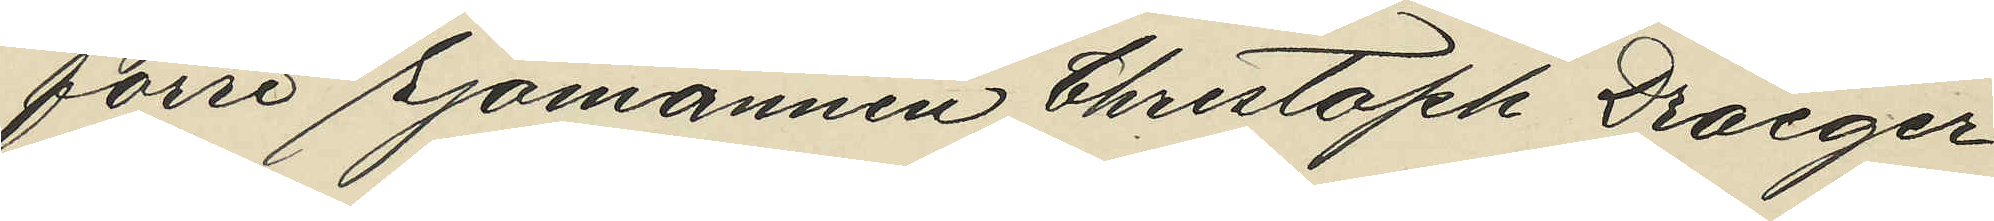förre Sjömannen Christoph Draeger
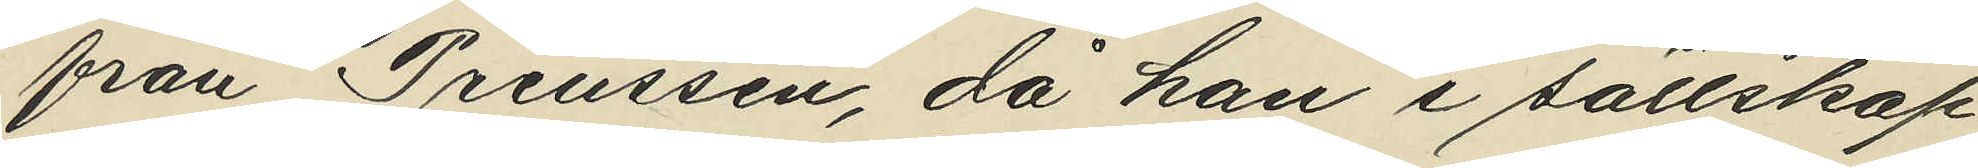från Preussen, då han i sällskap
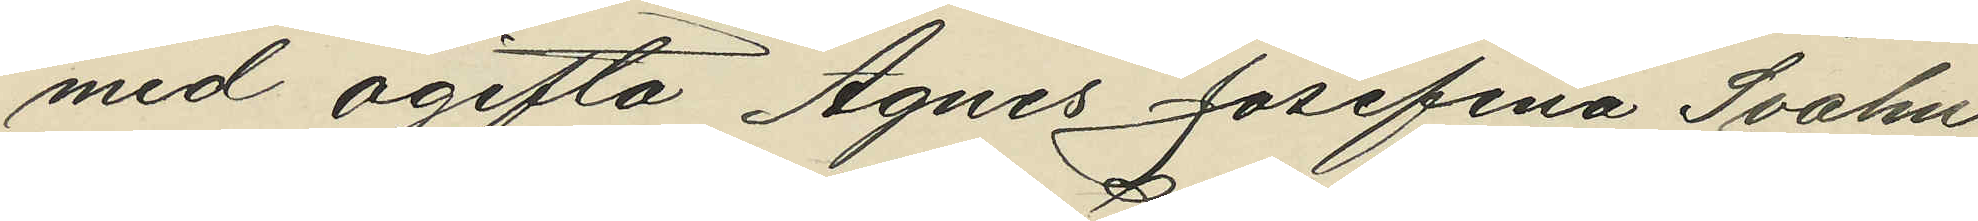med ogifta Agnes Josefina Svahn
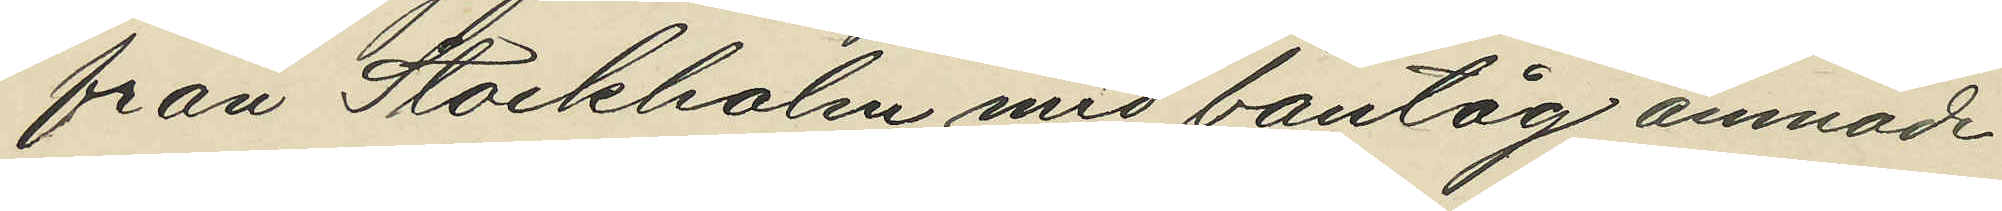från Stockholm med bantåg ämnade
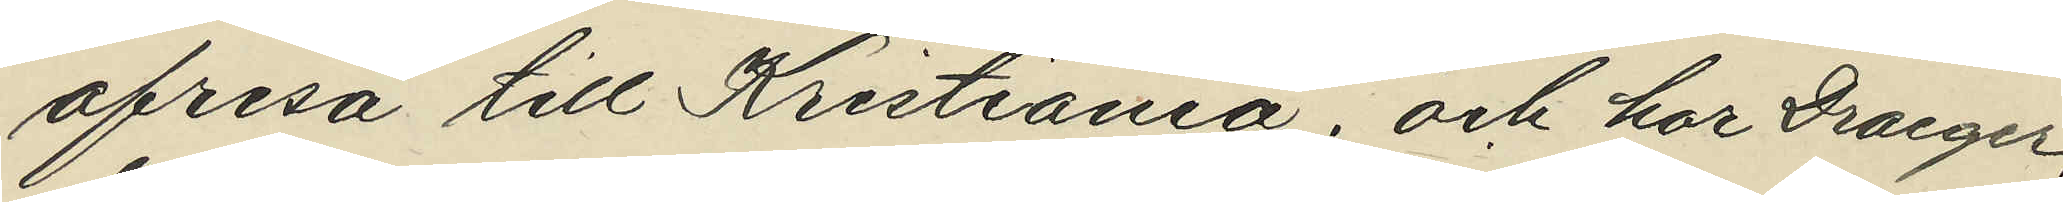afresa till Kristiania; och har Draeger,
